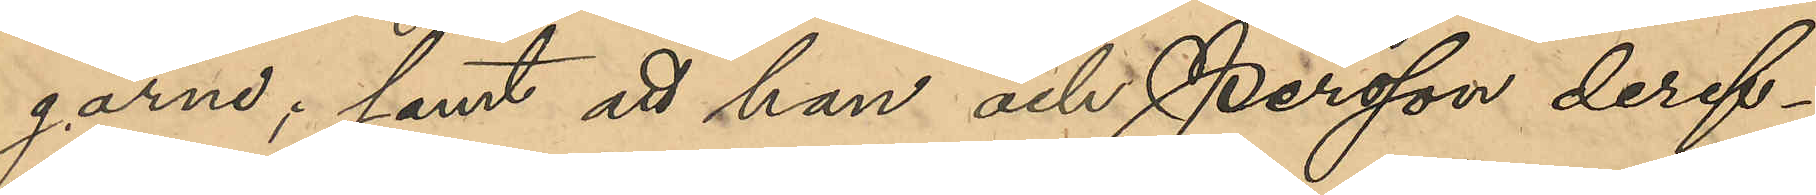garna; samt att han och Persson deref¬
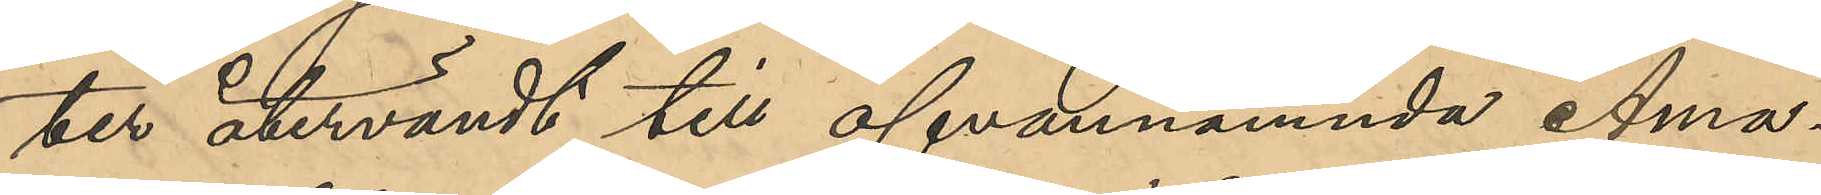ter återvändt till ofvannämnda Ama¬
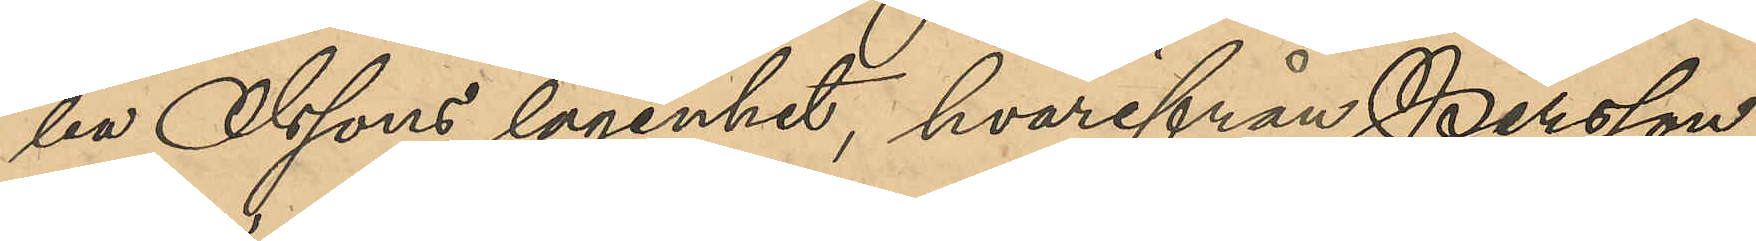lia Olssons lägenhet, hvarifrån Persson
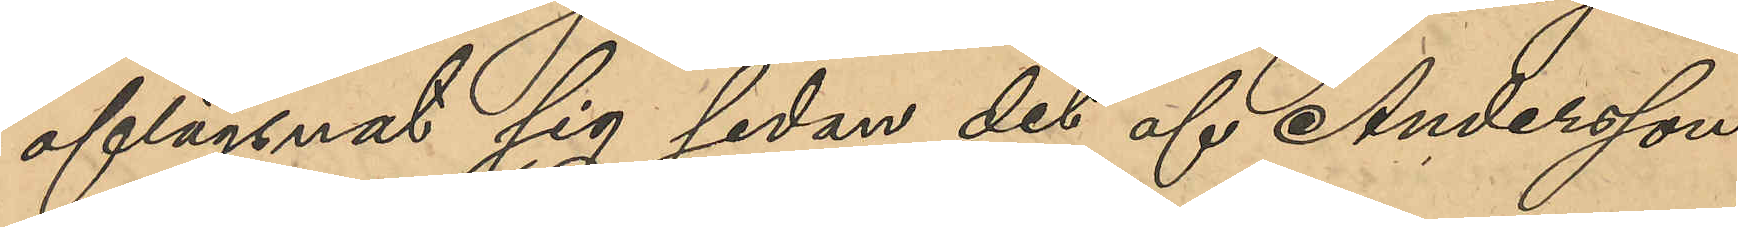aflägsnat sig sedan det af Andersson
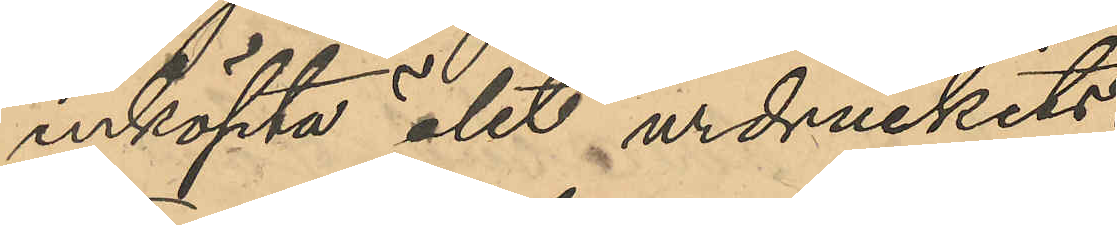inköpta ölet urdruckits;
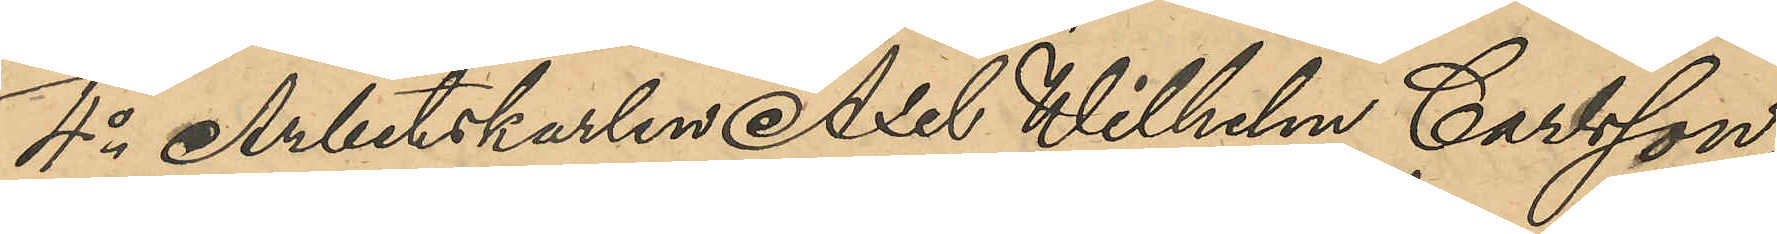4o Arbetskarlen Wilhelm Carlsson,
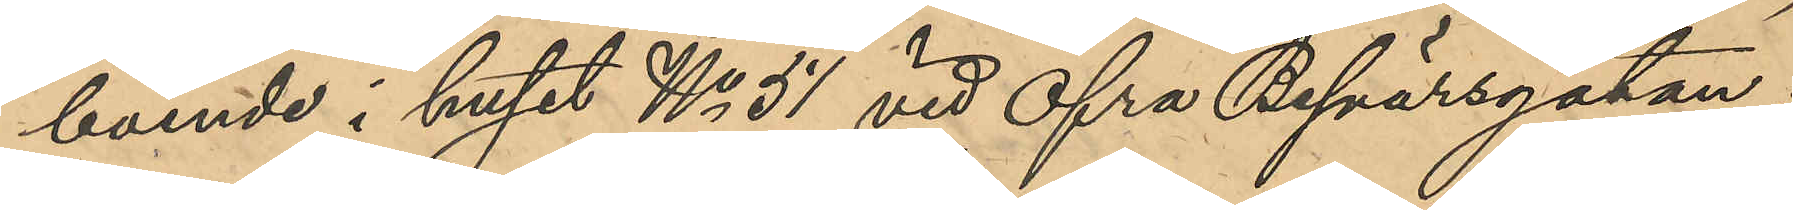boende i huset No 51 vid Öfra Besvärsgatan;
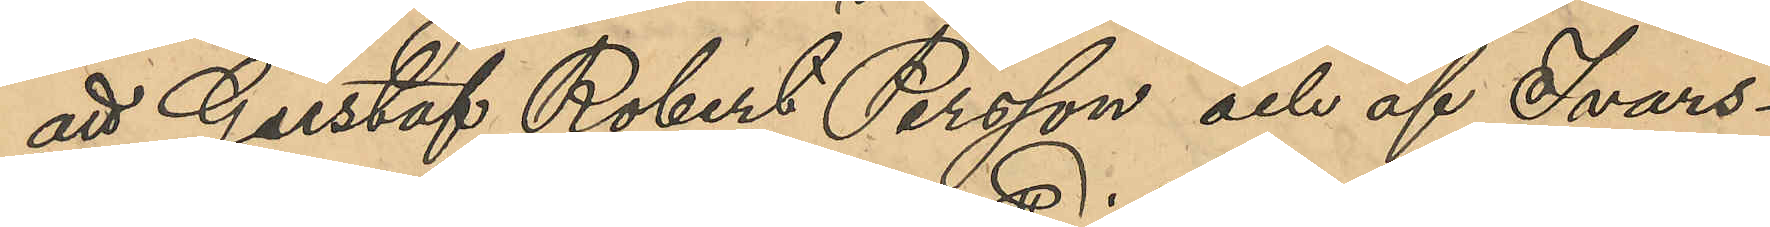att Gustaf Robert Persson och af Ivars¬
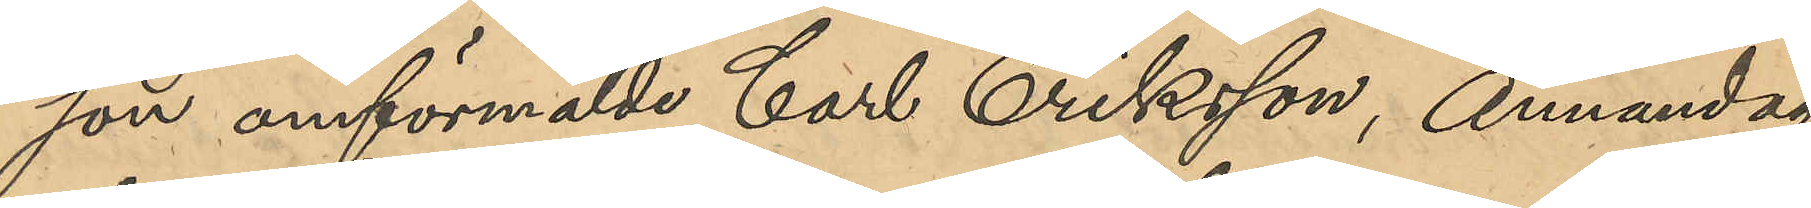son omförmälte Carl Eriksson, Annandag
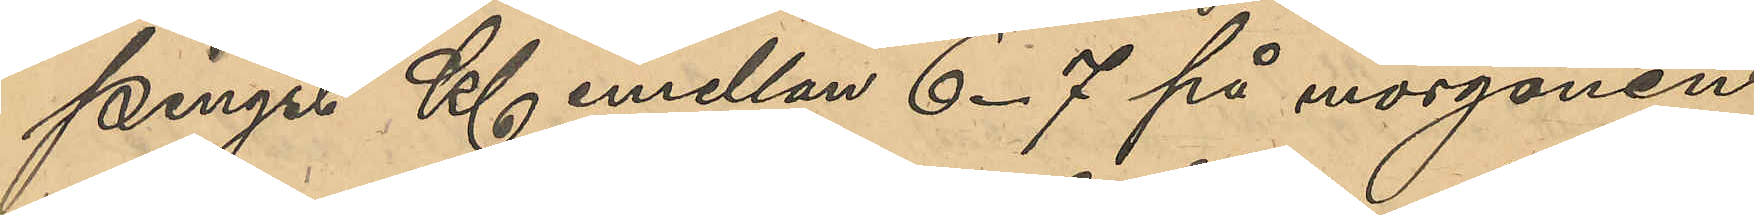Pingst Kl emellan 6-7 på morgonen
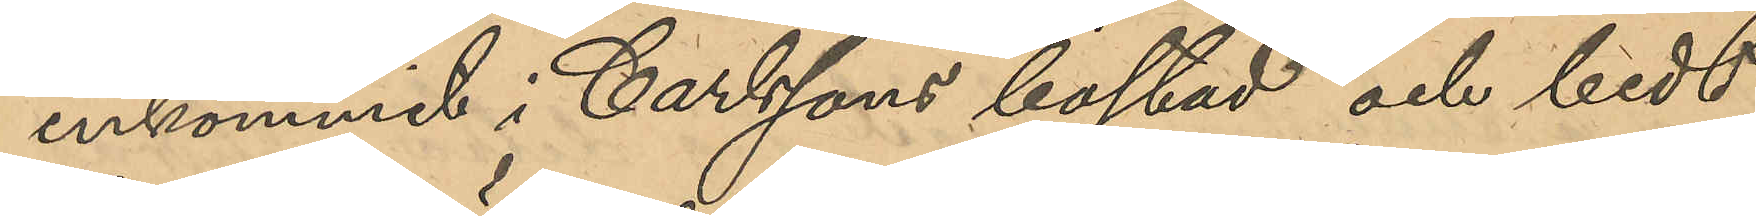inkommit i Carlssons bostad och bedt
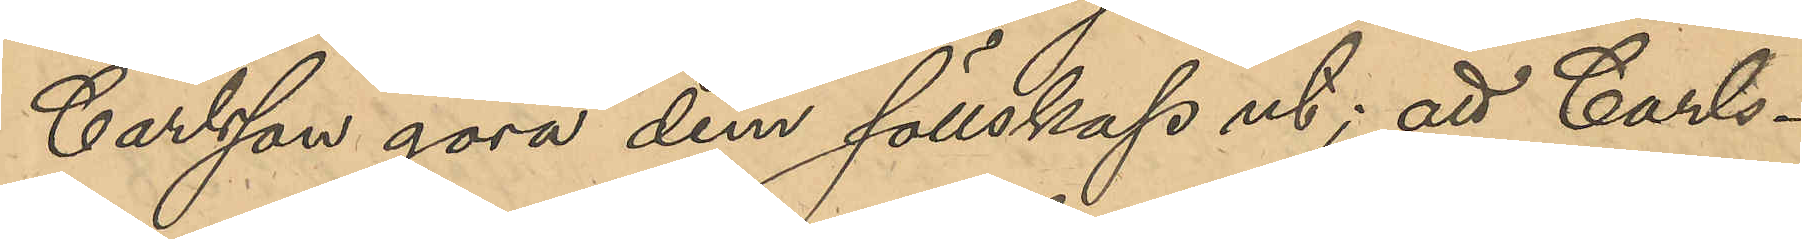Carlsson göra dem sällskap ut; att Carls¬
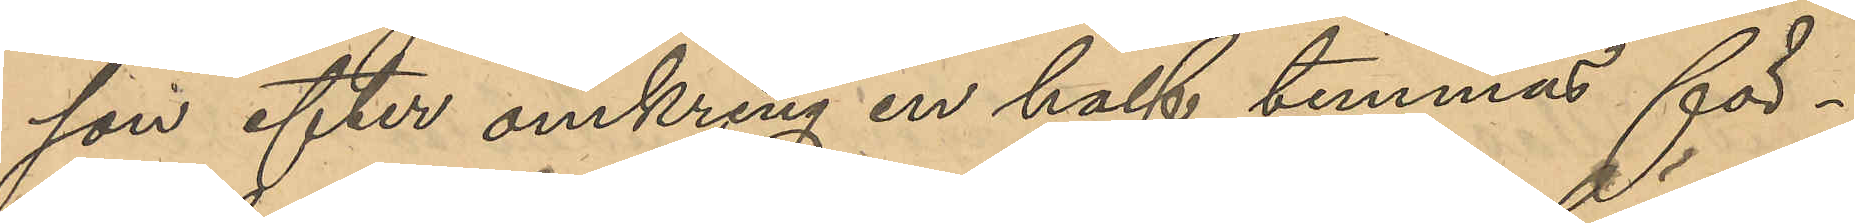son efter omkring en half timmas för¬
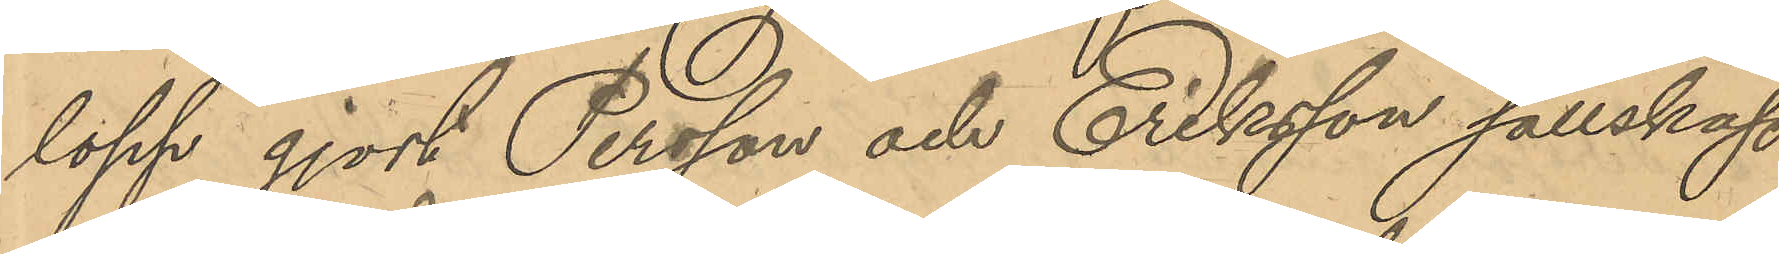lopp gjort Persson och Eriksson sällskap
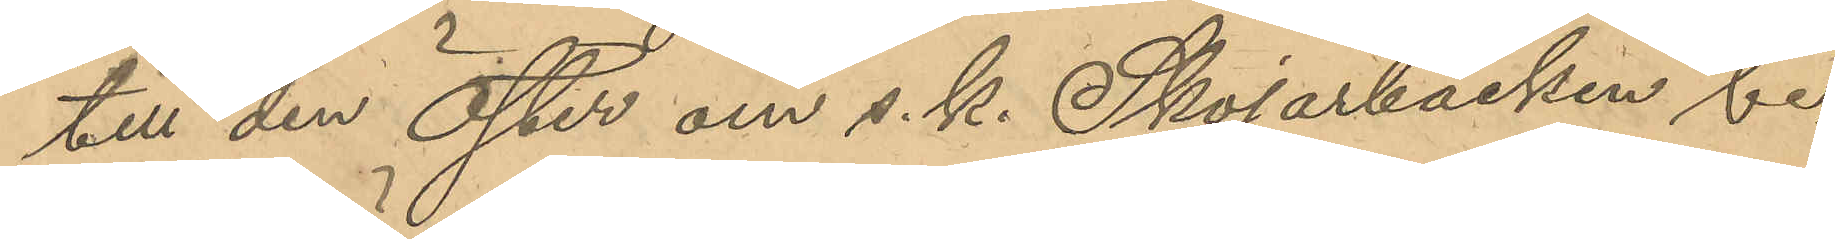till den Öster om s.k. Skojarbacken be¬
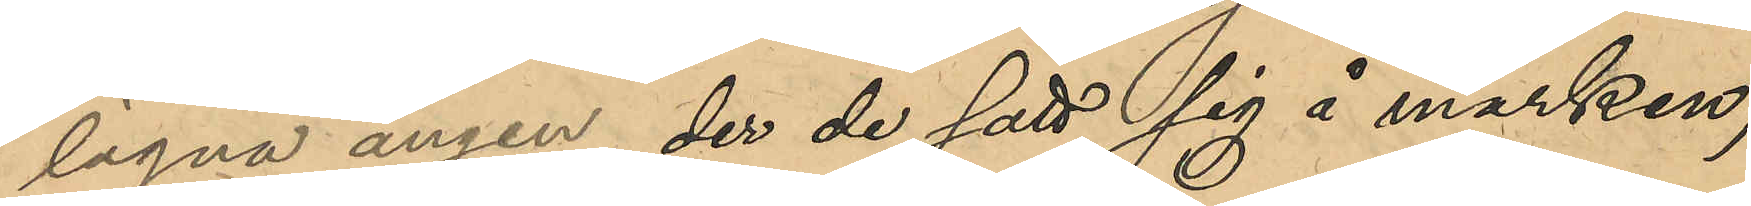lägna ängen, der de satt sig å marken;
